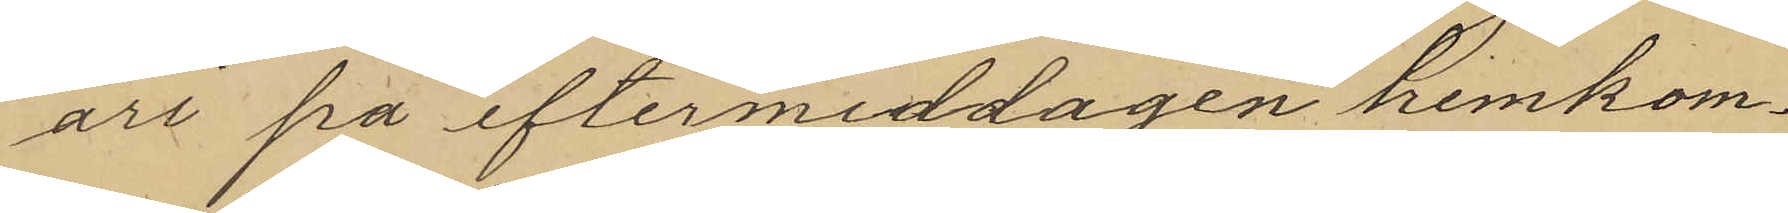ari på eftermiddagen hemkom¬
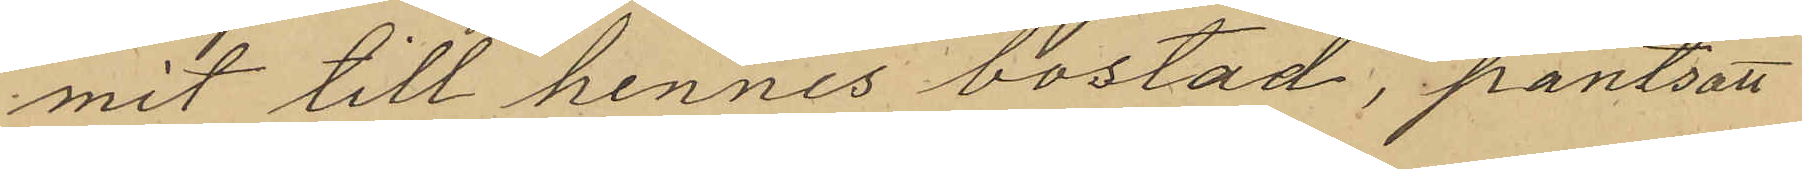mit till hennes bostad, pantsatt
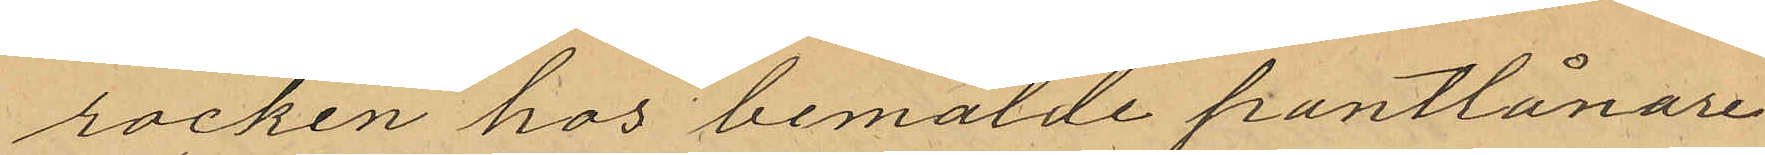rocken hos bemälde pantlånare
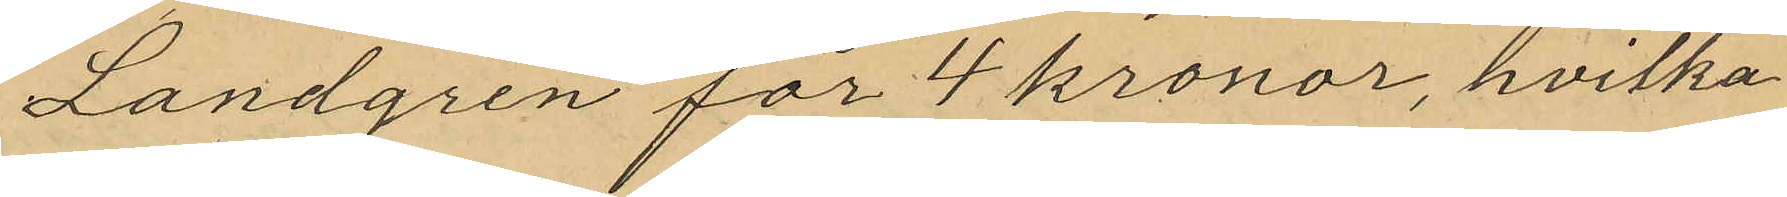Landgren för 4 kronor, hvilka
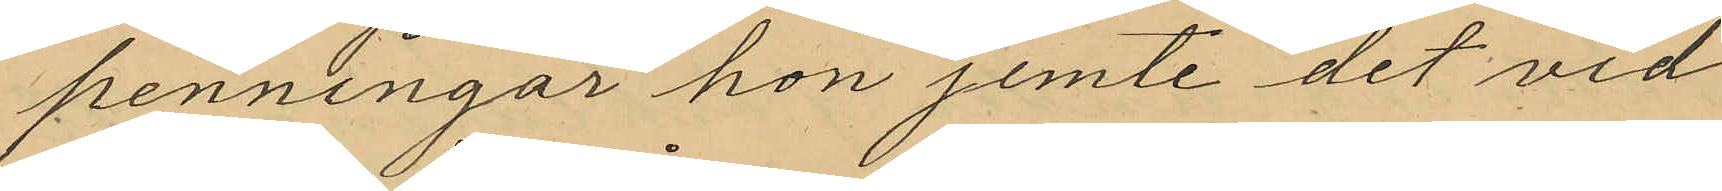penningar hon jemte det vid
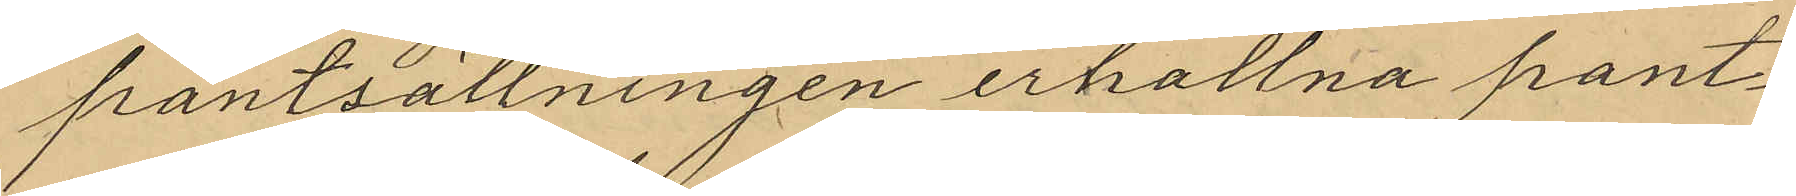pantsättningen erhallna pant¬
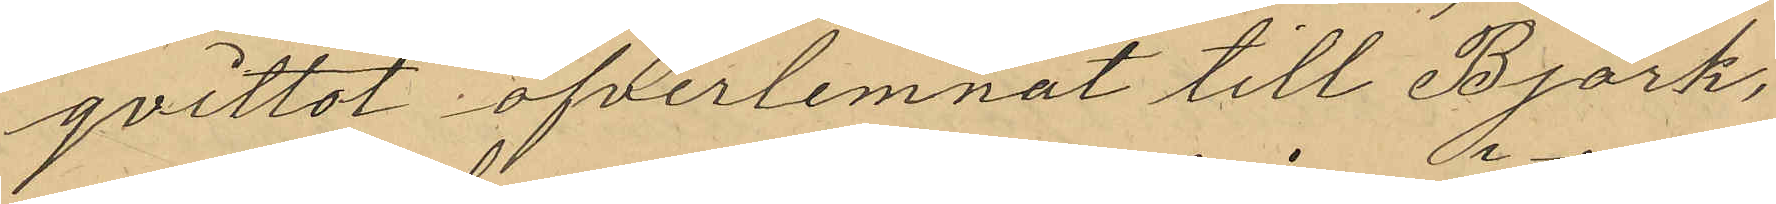qvittot öfverlemnat till Björk,
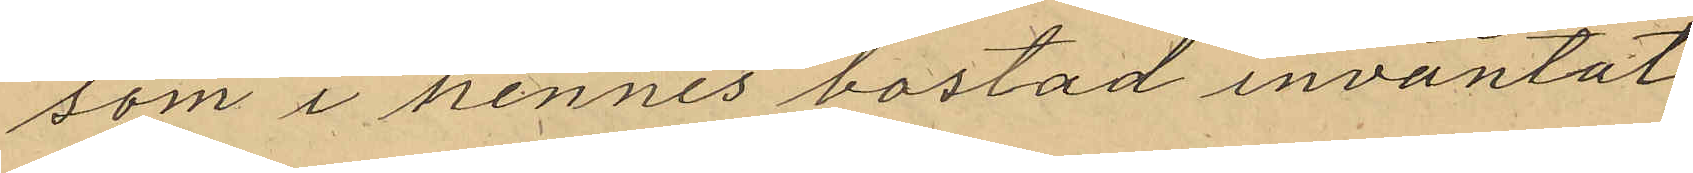som i hennes bostad inväntat
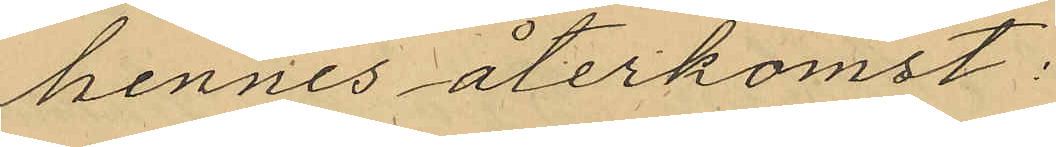hennes återkomst:
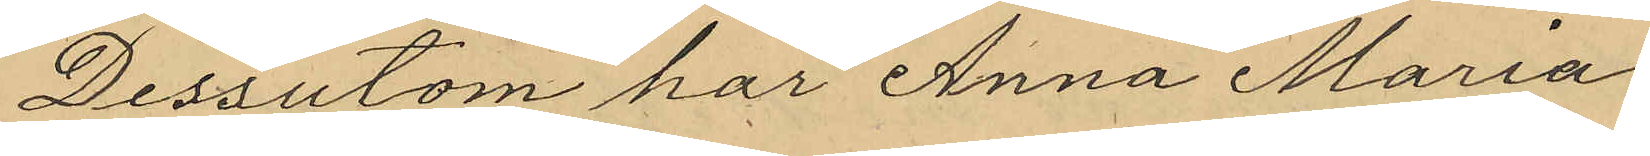Dessutom har Anna Maria
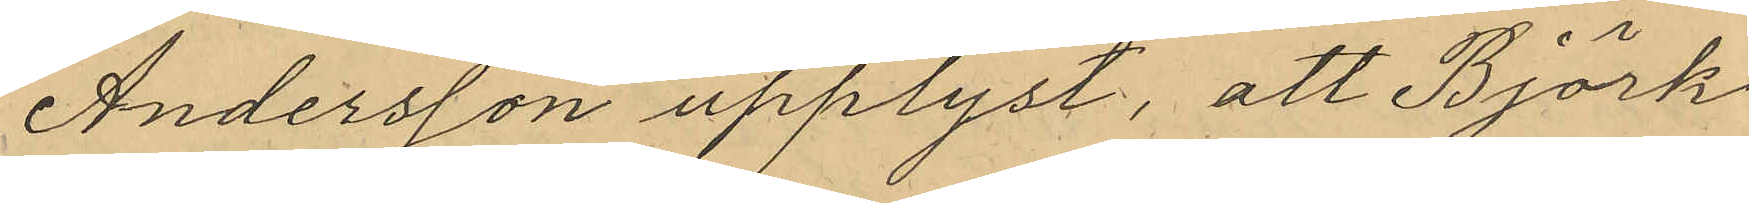Andersson upplyst, att Björk
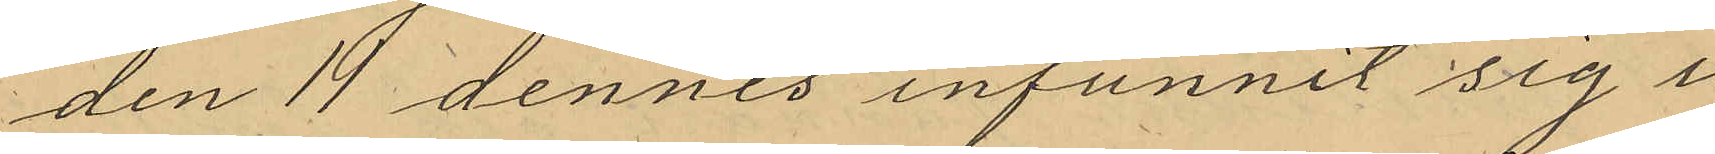den 14 dennes infunnit sig i
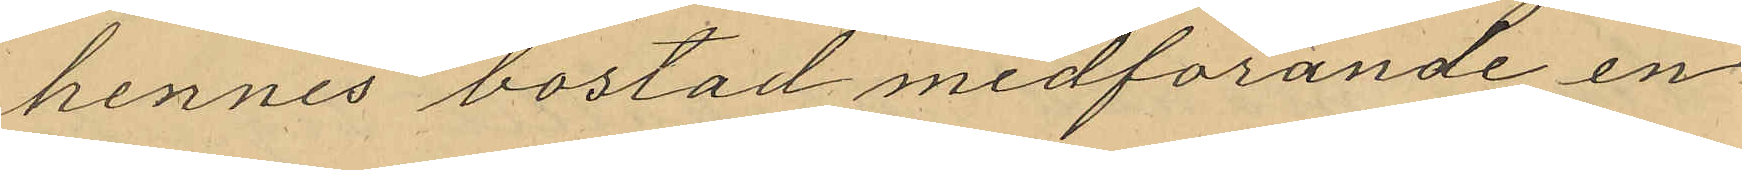hennes bostad medforande en
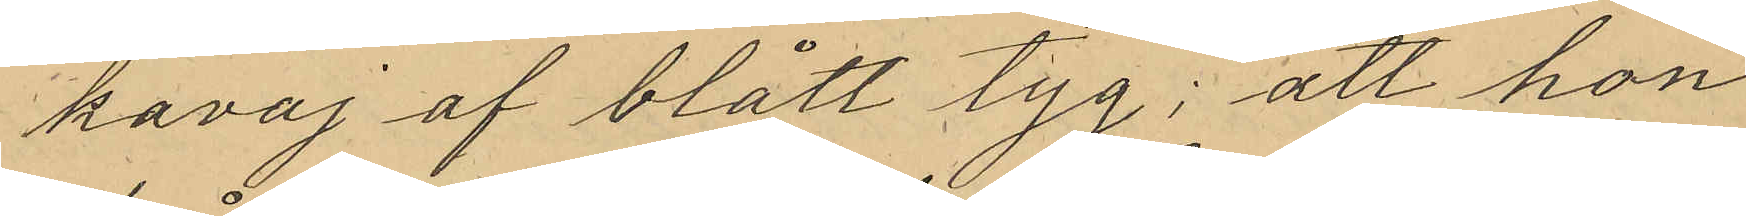kavaj af blått tyg; att hon
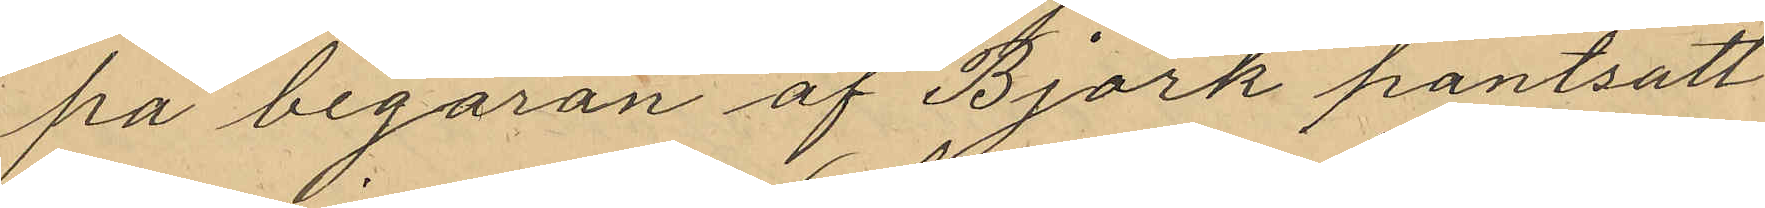på begäran af Björk pantsatt
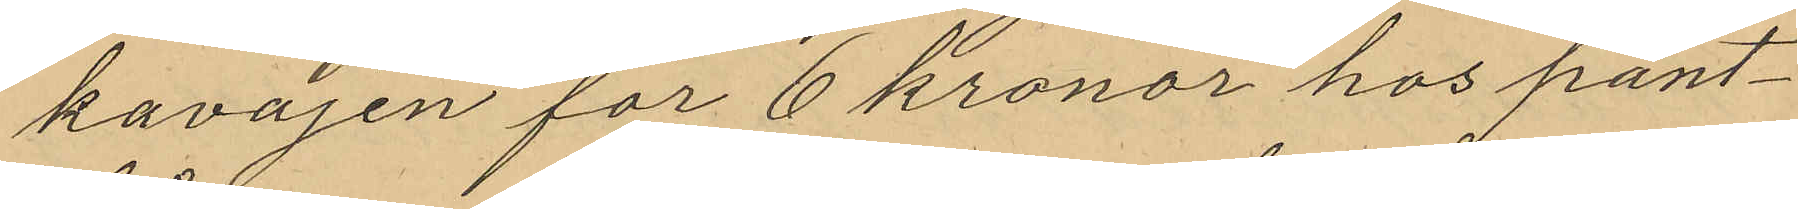kavajen för 6 kronor hos pant¬
